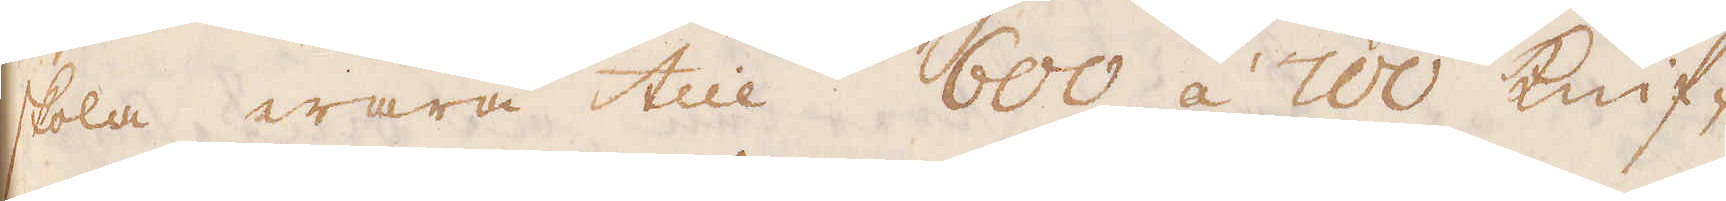skola wara till 600 á 700 knif-
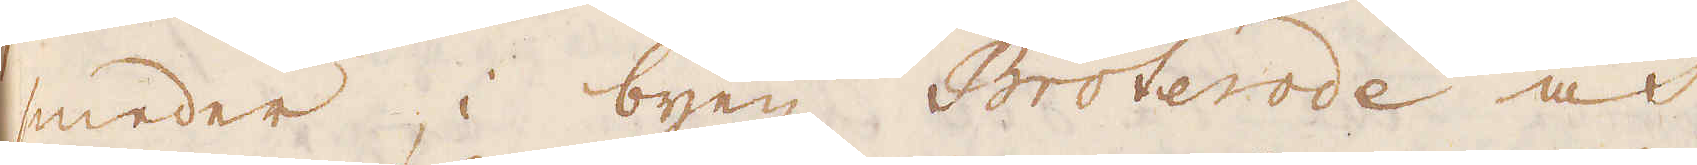meder, i byen Broterode och
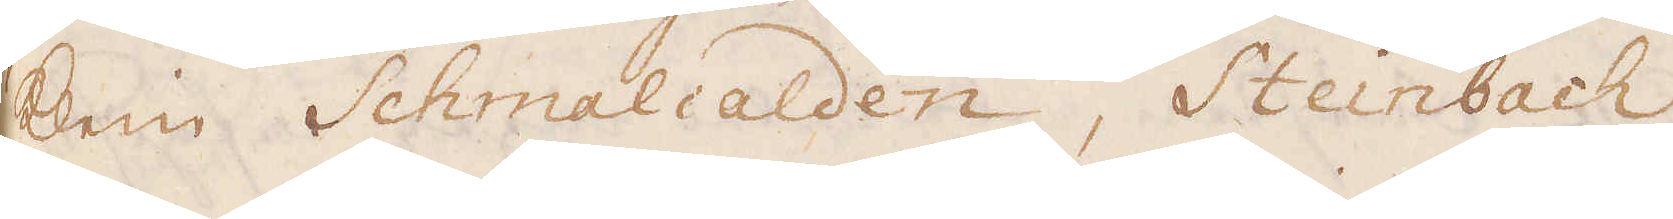Klein Schmalcalden, Steinbach
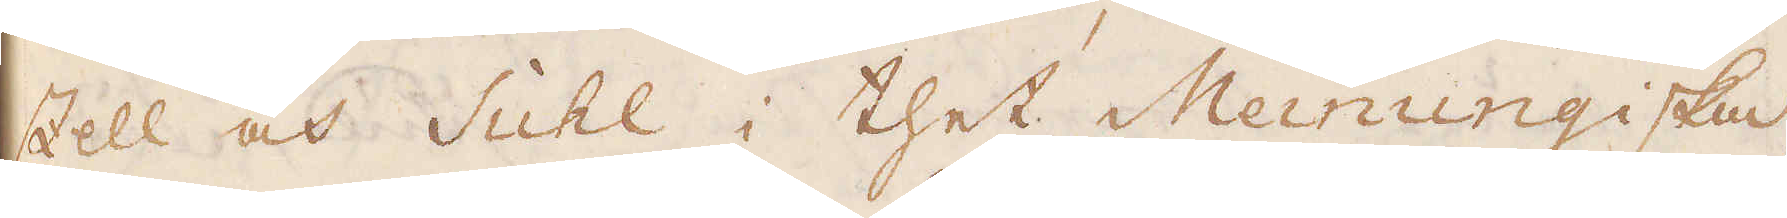Zell och Suhl i thet Meinungiska
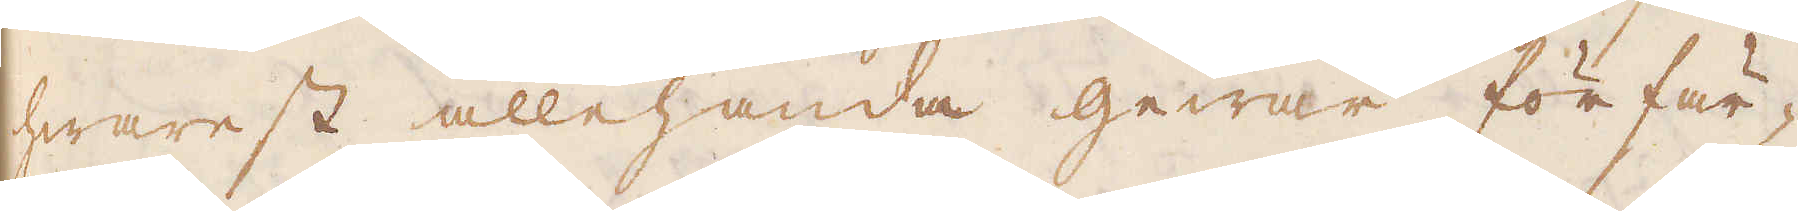hwarest allehanda gewär förfär-
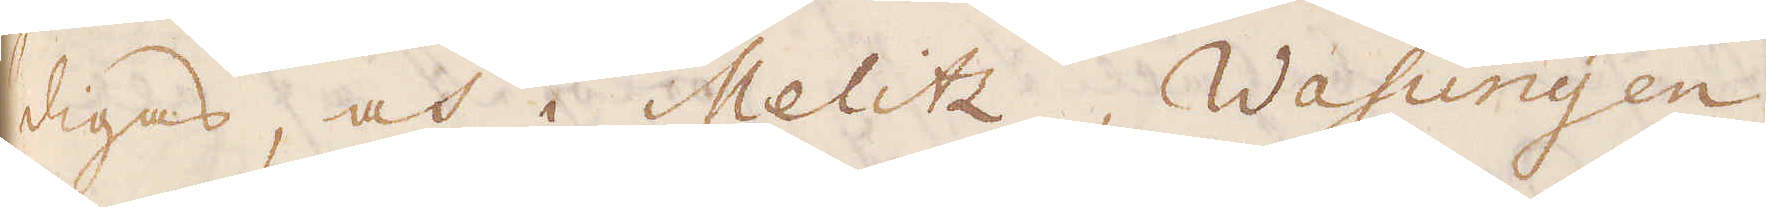digas, och i Melitz, Wasungen,
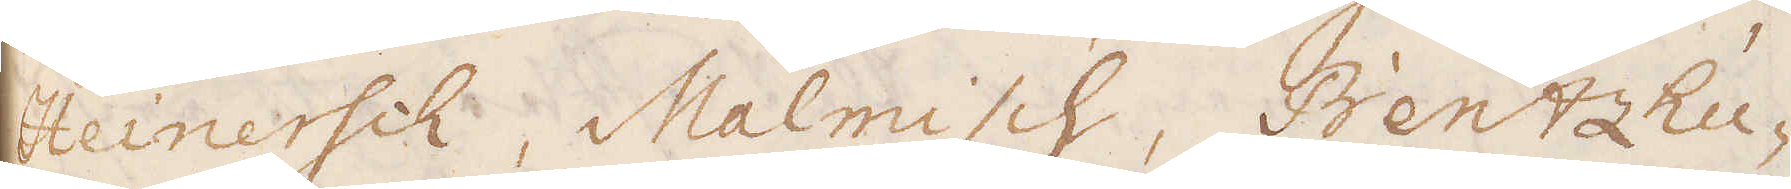Heinersch, Malmisch, Bentzhu-
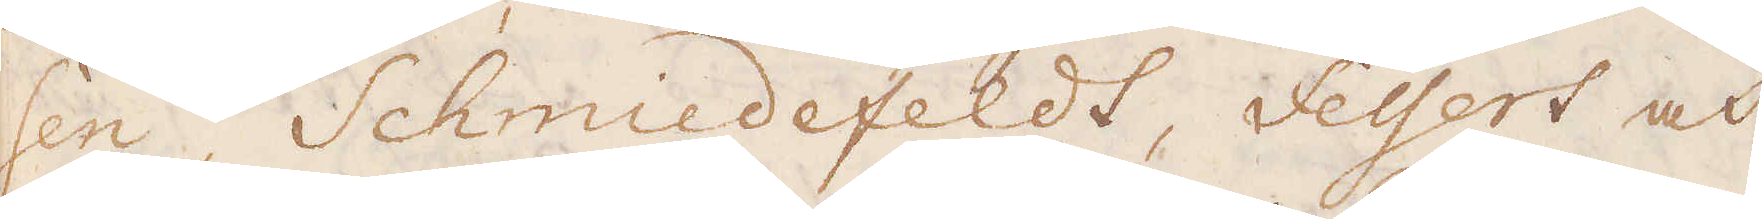sen, Schmiedefeldt, Feyert och
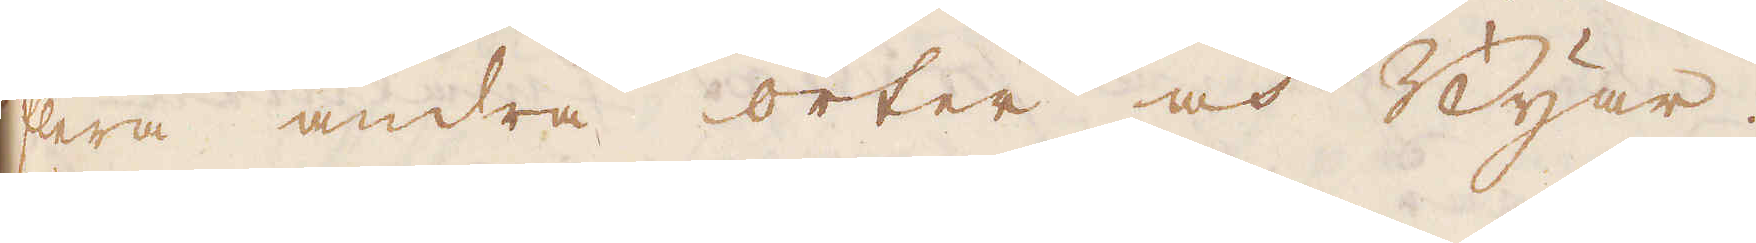flera andra orter och Byar.
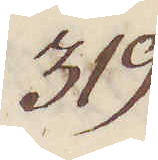319.
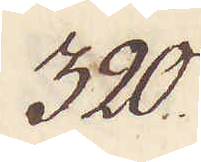320.
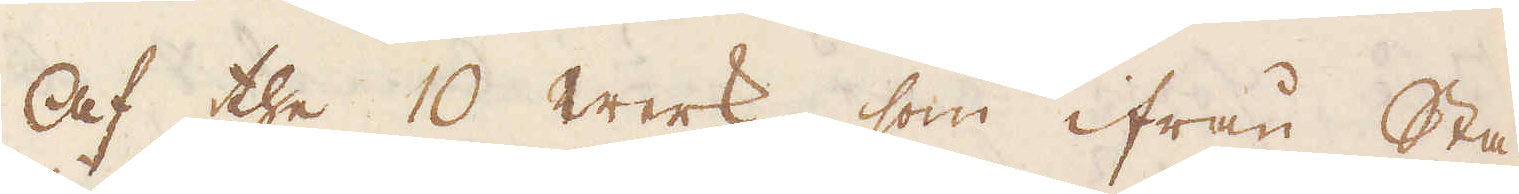Af the 10 Werk, som ifrån Sta-
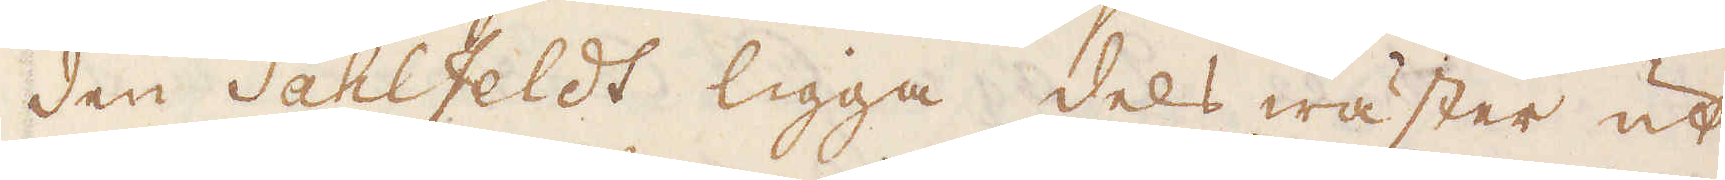den Sahlfeldt ligga dels wäster ut,
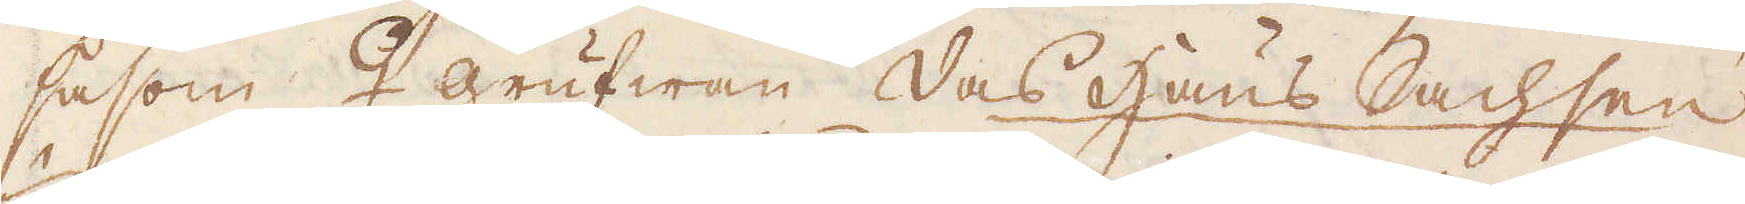såsom ♀grufwan das Haus Sachsen
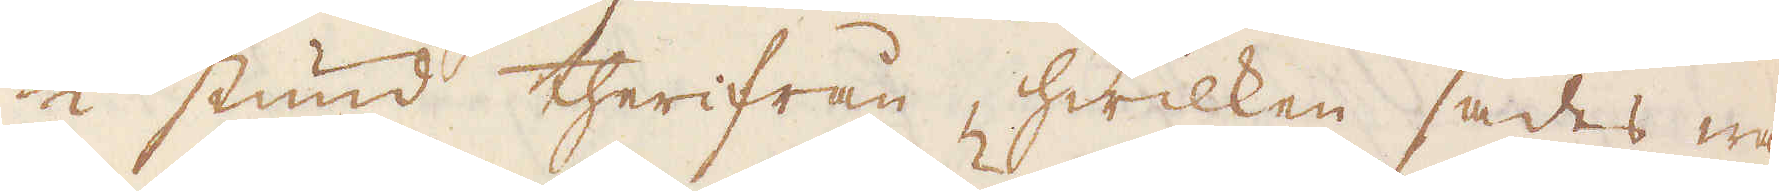1/2 stund therifrån, hwilken sades wa-
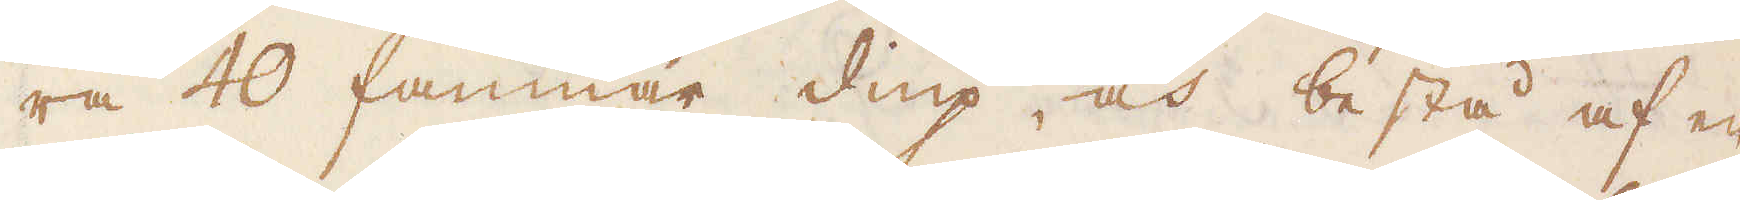ra 40 famnar diup, och bestå af en
